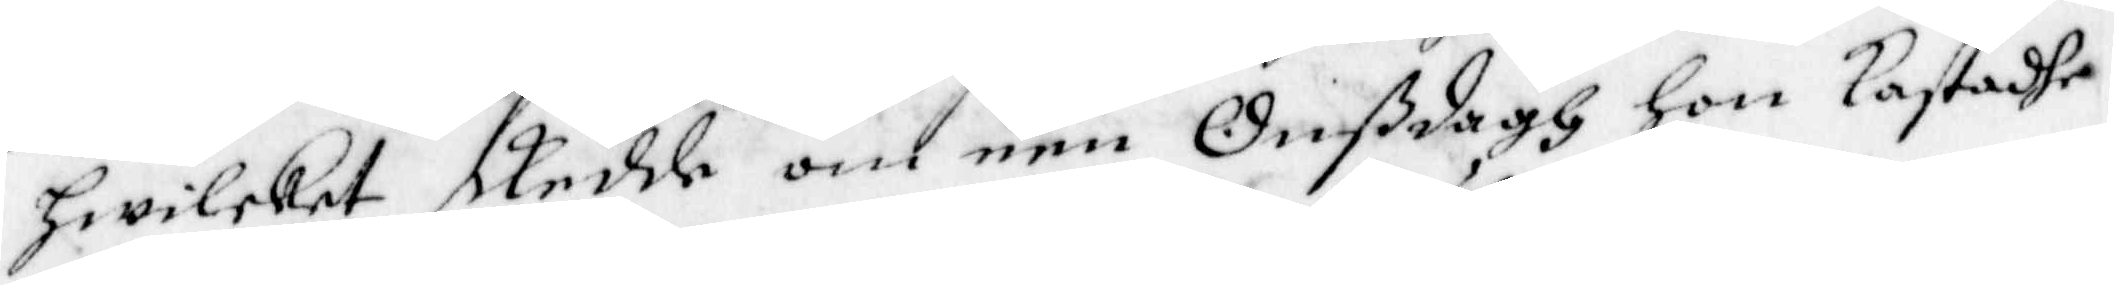hwilket skedde om een Onßdagh hon kastadhe
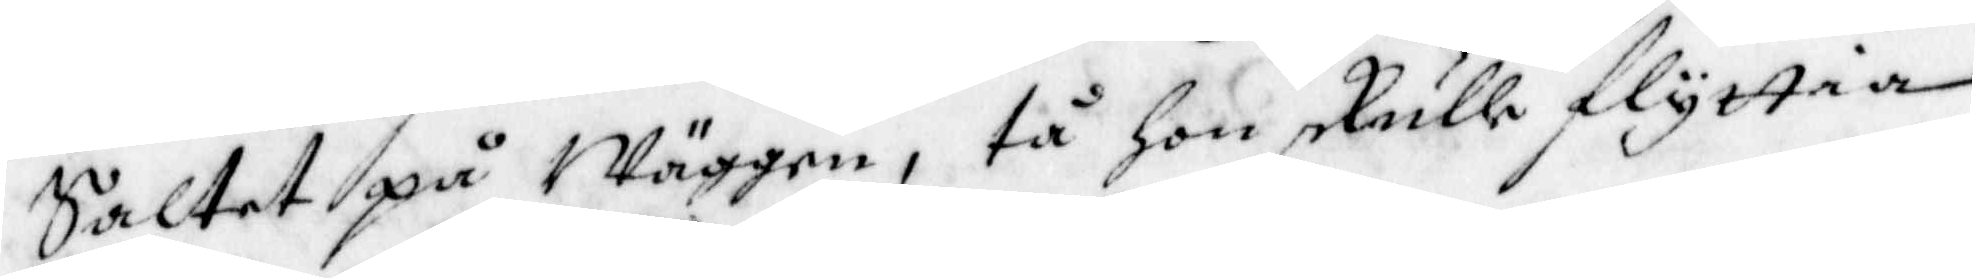Saltet på Wäggen, tå hon skulle flyttia
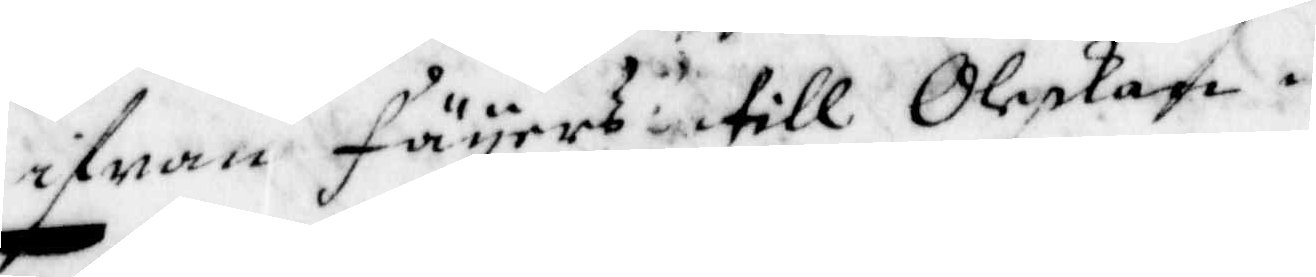ifrån Fäyers till Oleskan.
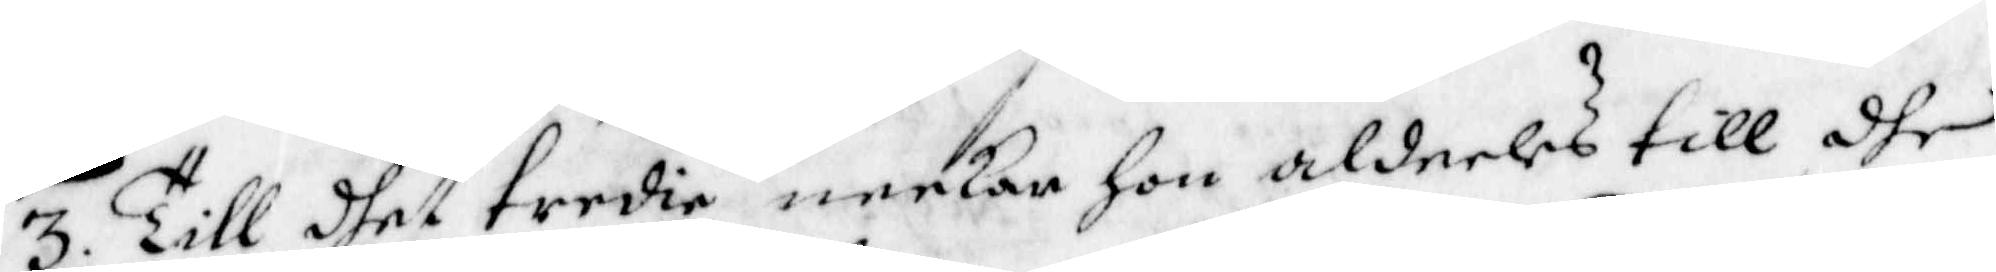3. Till dhet tredie neekar hon aldeeles till dhe
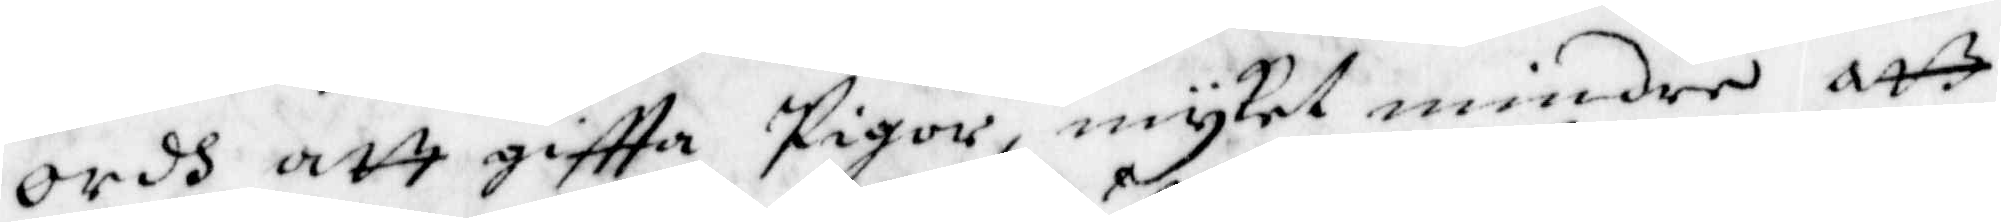Ordh att giftta Pigor, mycket mindre att
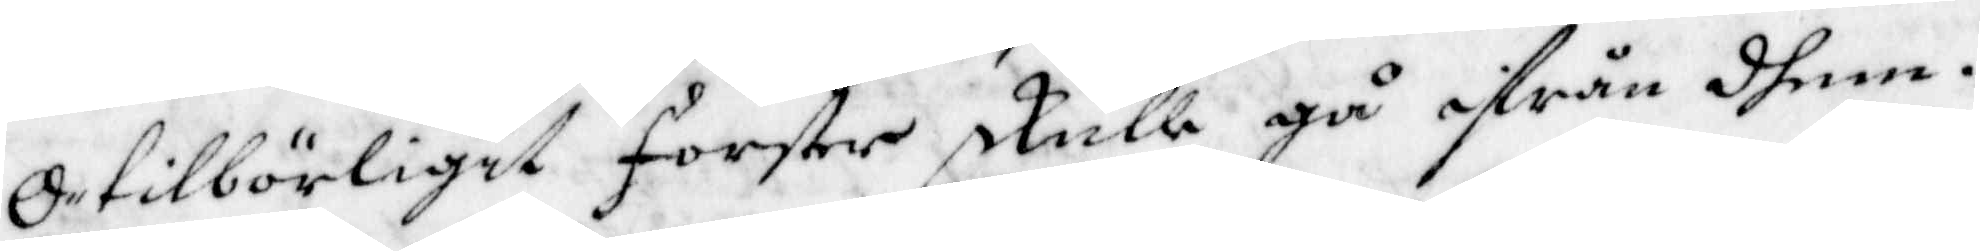Otilbörligit forster skulle gå ifrån dhem.
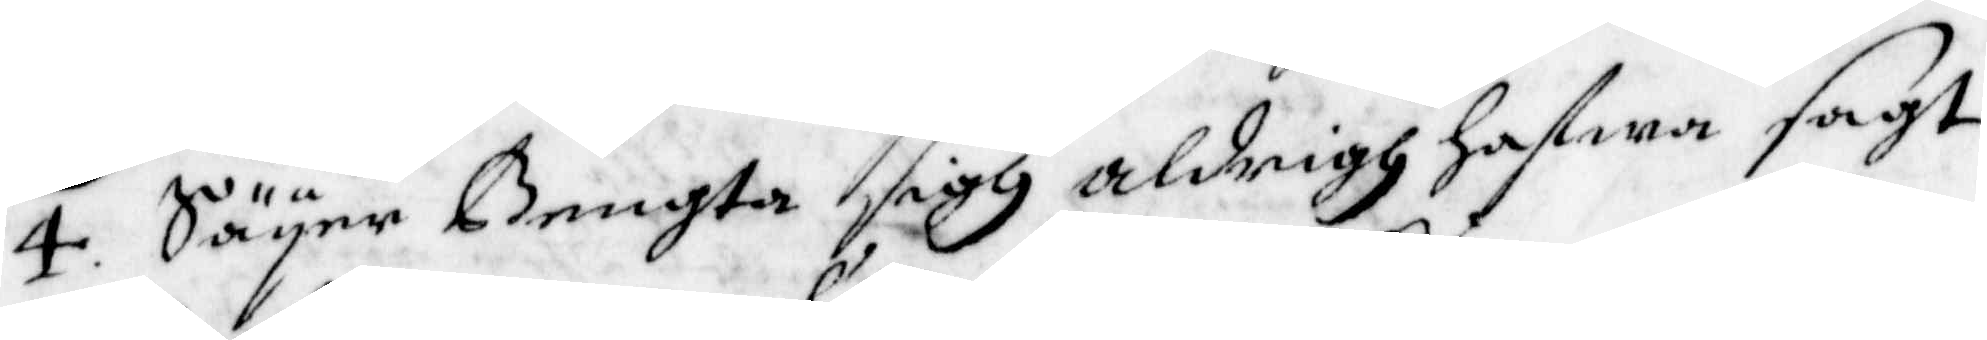4. Säyer Bengta sigh aldrigh hafwa sagt
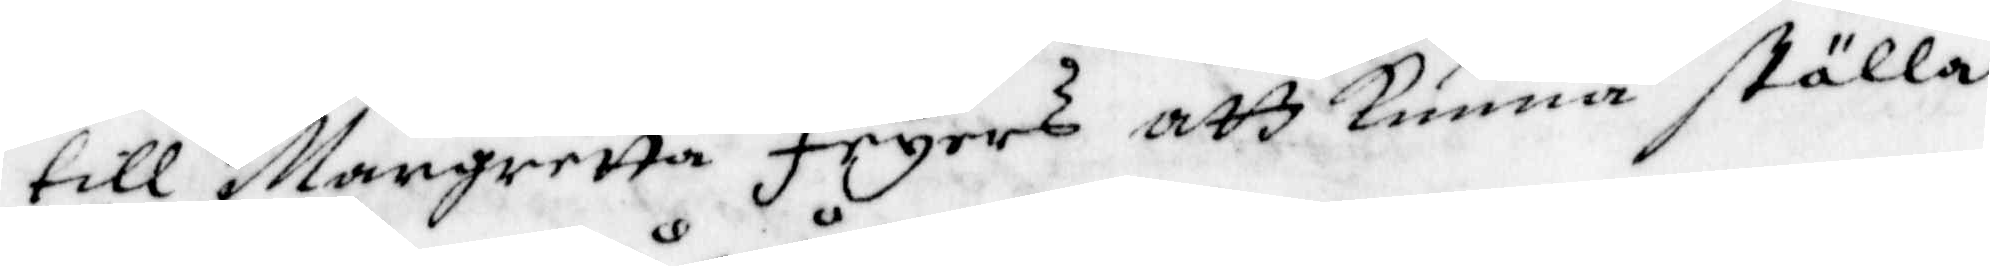till Margretta Feyers att kunna ställa
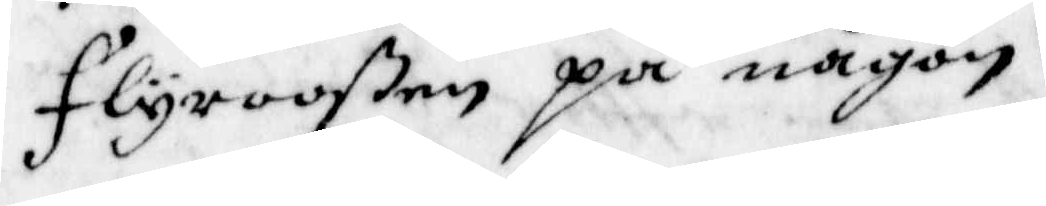flyrooßen på någon.
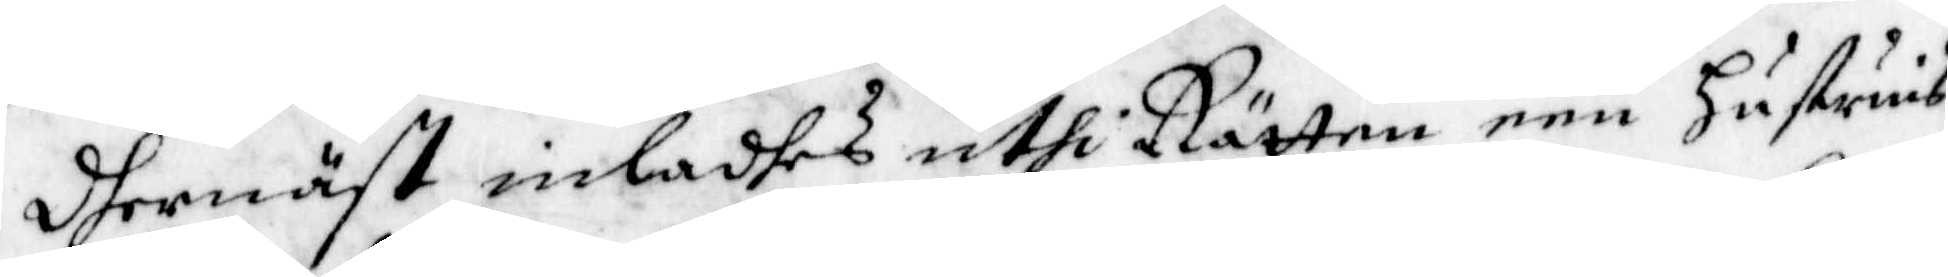Dhernäst inladhes uthi Rätten een Hustruns
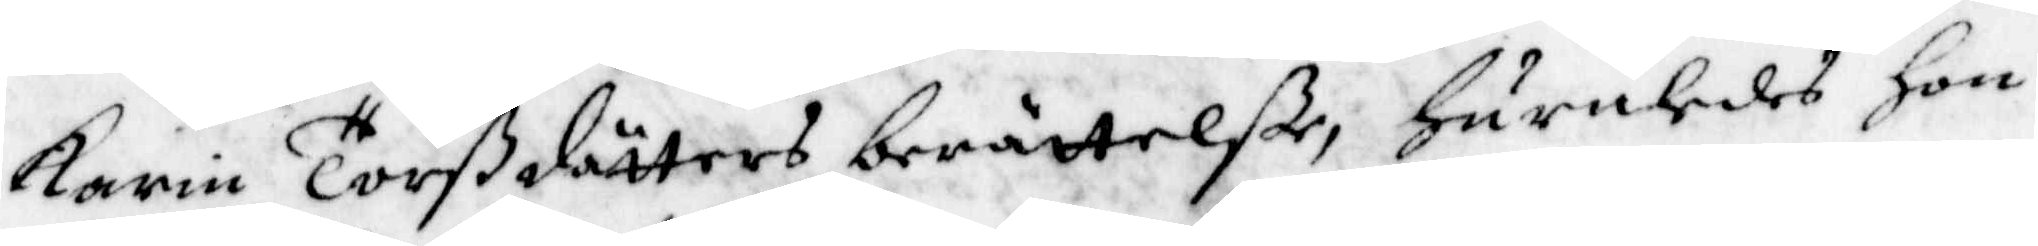Karin Torßdotters berättelße, huruledes hon
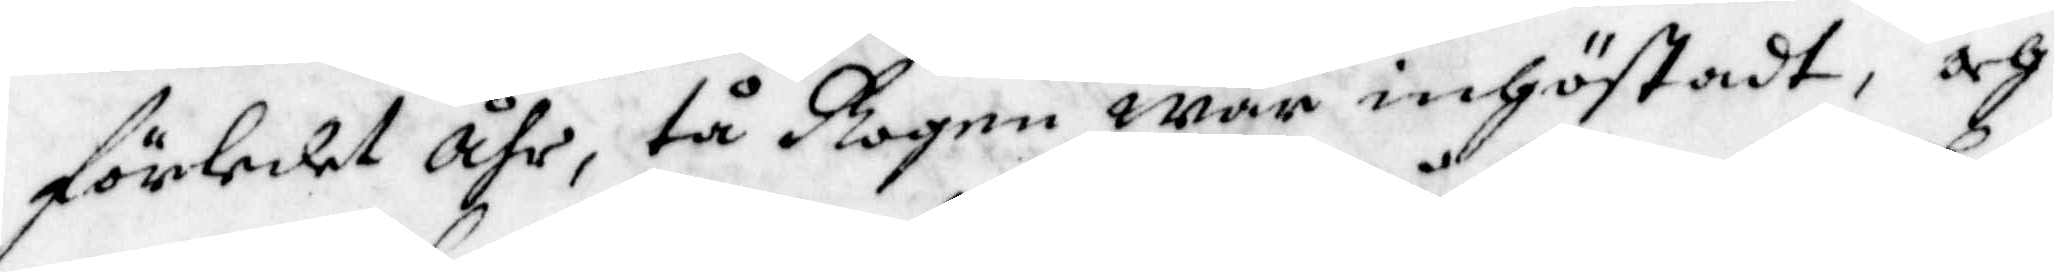förledet åhr, tå Rogen war inhöstadt, och
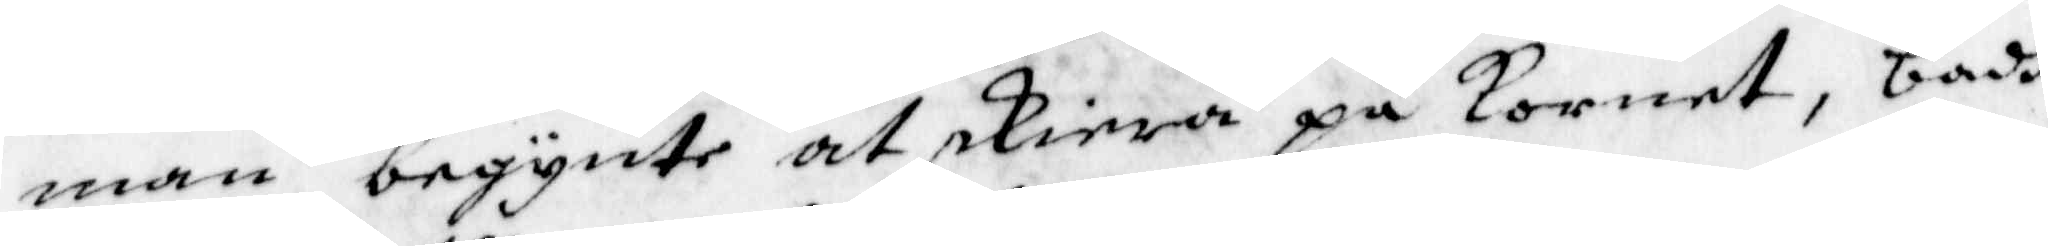man begynte at skiera på Kornet, badh
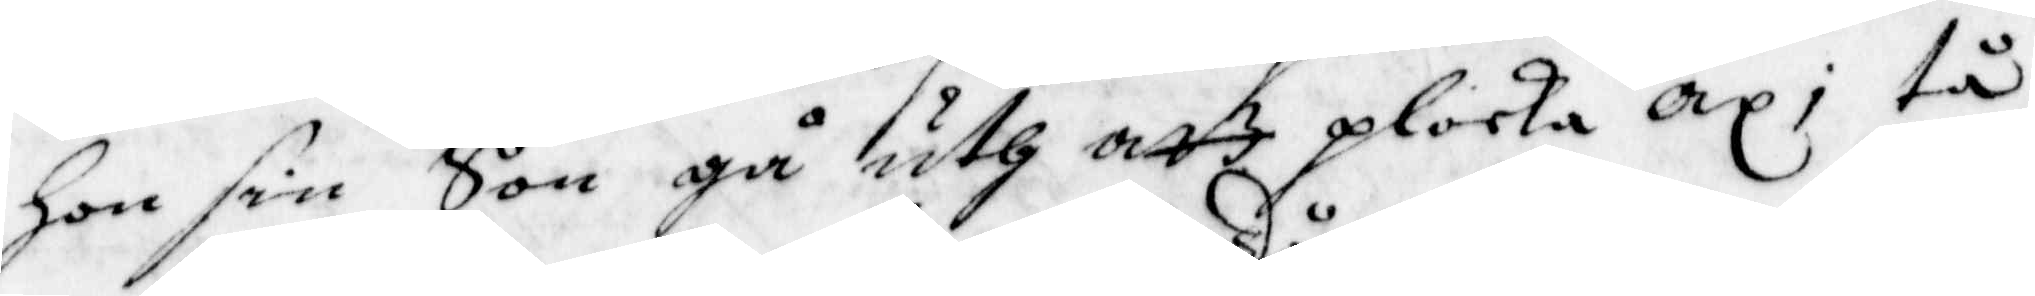Hon sin Son gå uth att plocka ax; tå
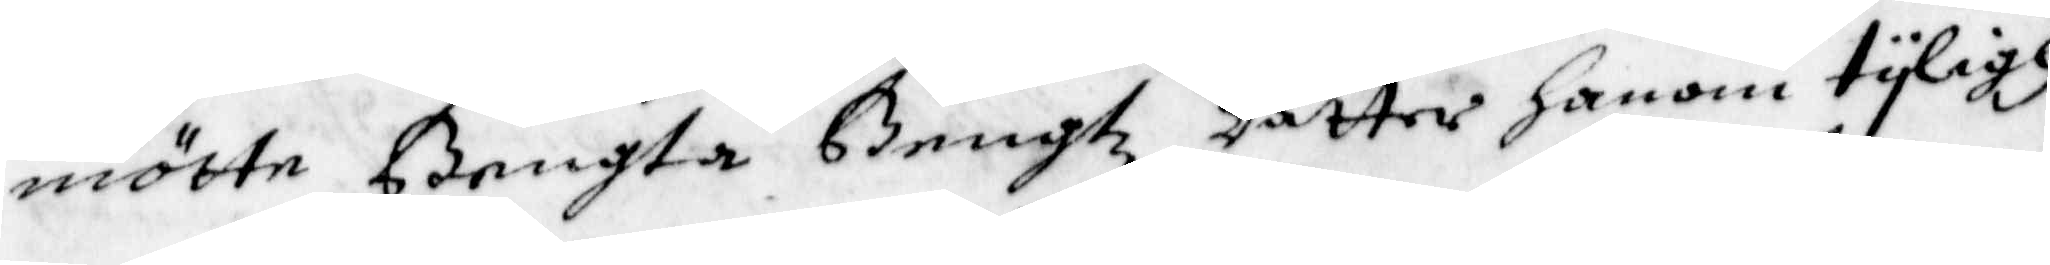mötte Bengta Bengtz Dåtter honom tyligh
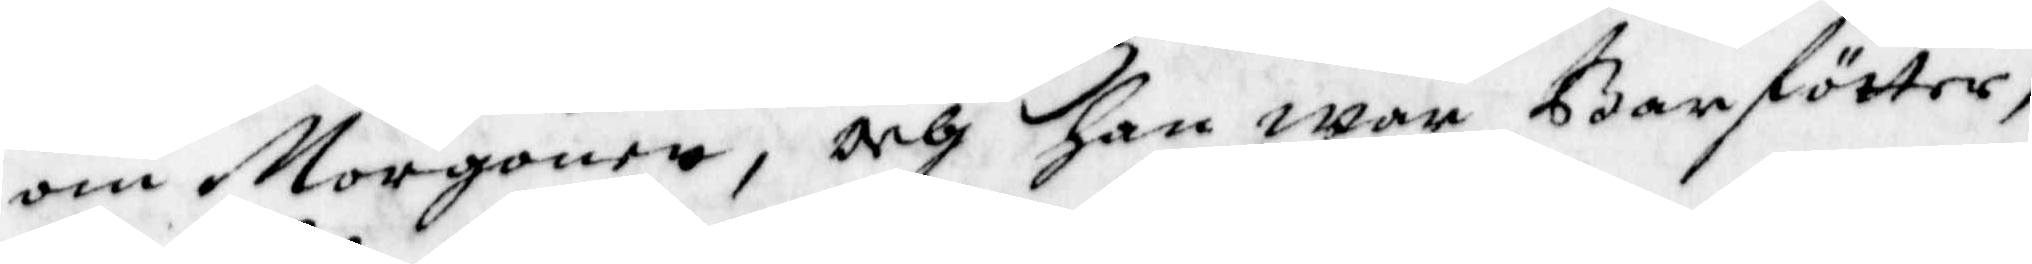om Morgonen, och han war Barförter,
